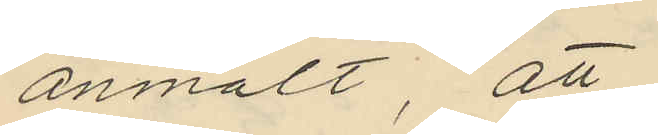anmält, att
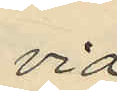vid
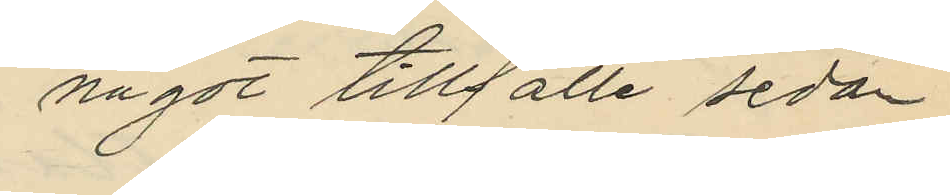något tillfälle sedan
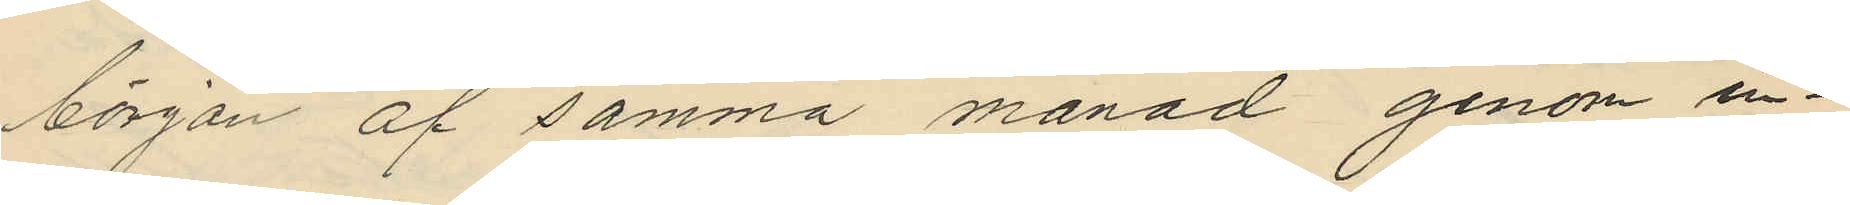början af samma månad genom in¬
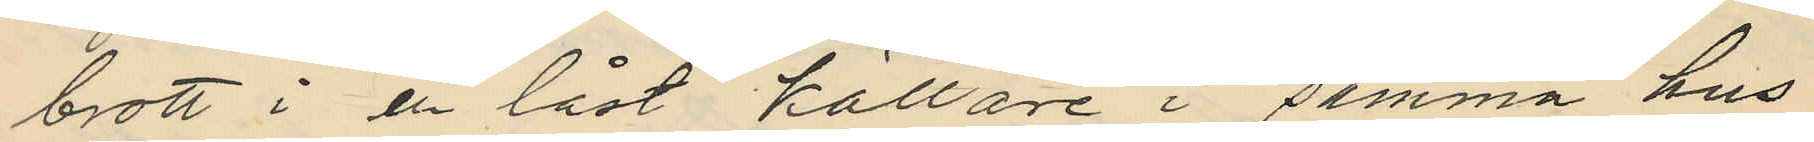brott i en låst källare i samma hus
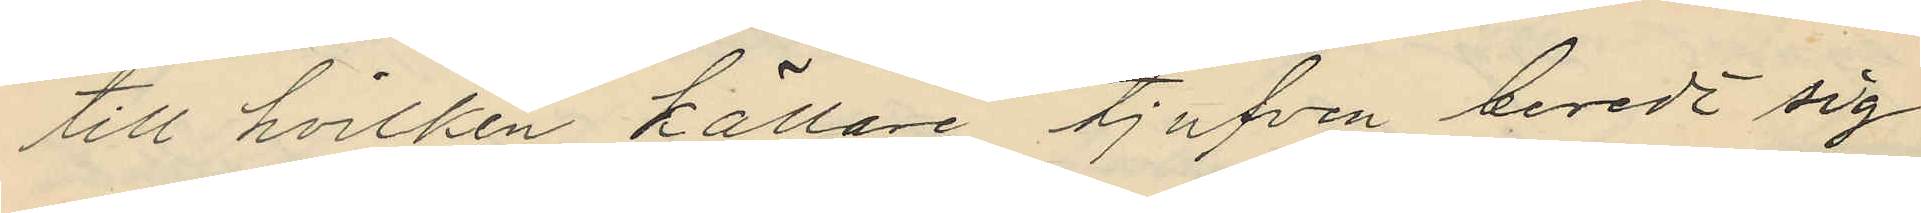till hvilken källare tjufven beredt sig
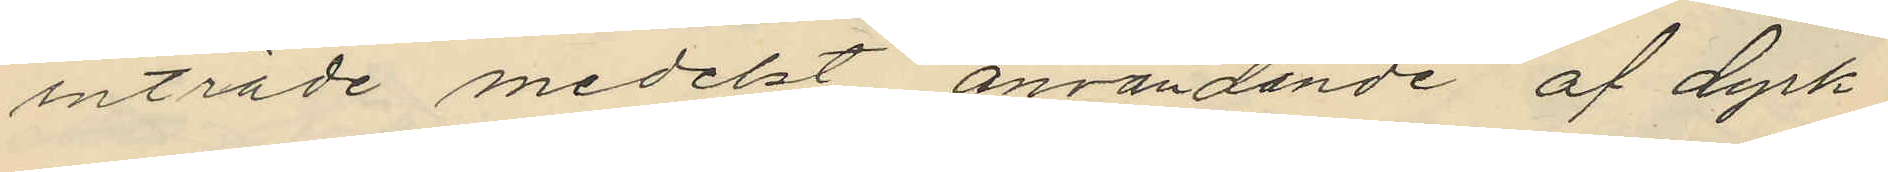inträde medelst användande af dyrk
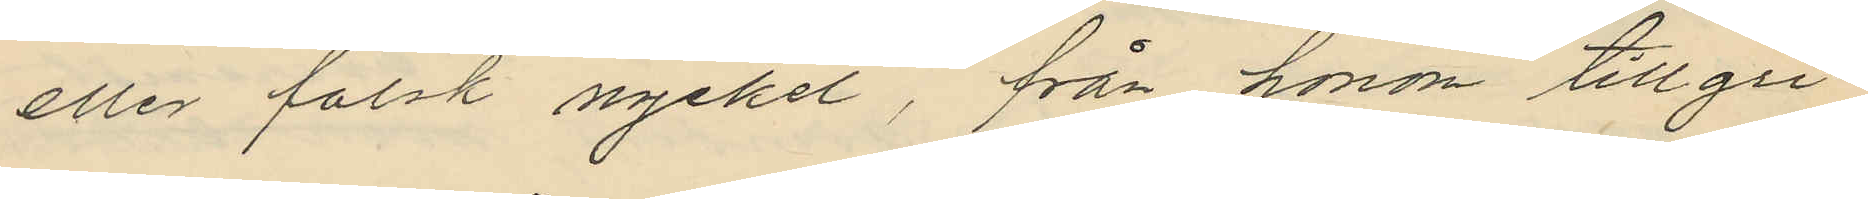eller falsk nyckel, från honom tillgri¬
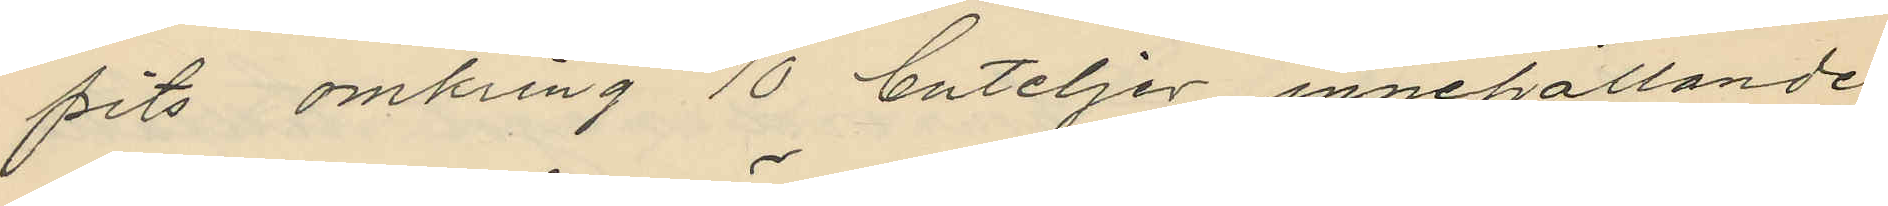pits omkring 10 buteljer innehållande
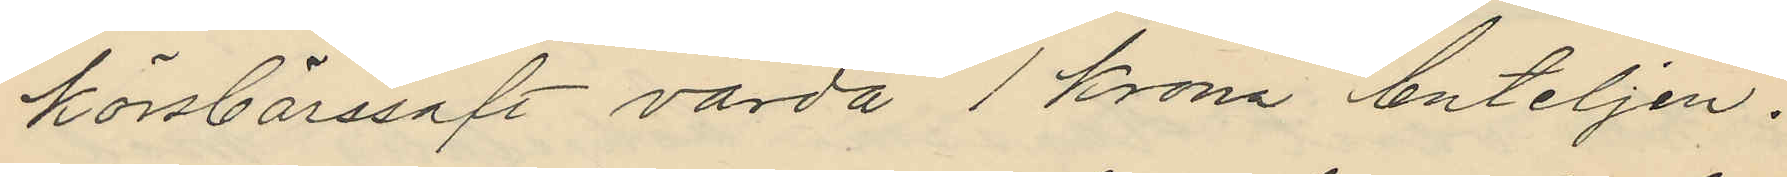körsbärssaft värda 1 krona buteljen.
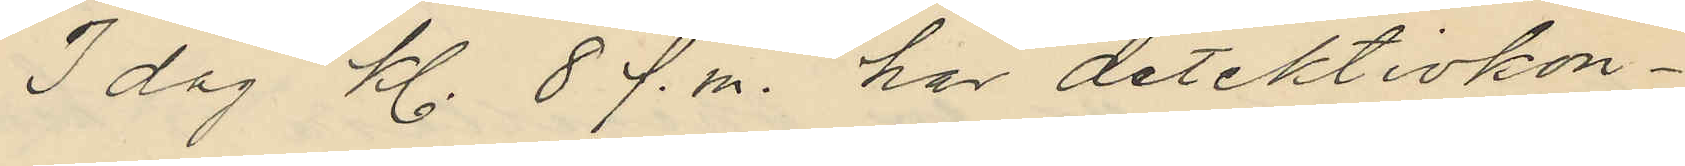I dag kl. 8 f.m. har detektivkon¬
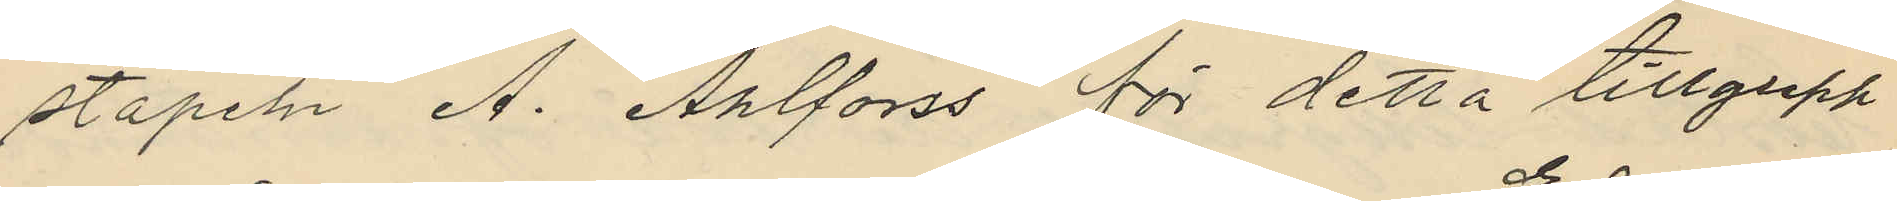stapeln A. Ahlforss för detta tillgrepp
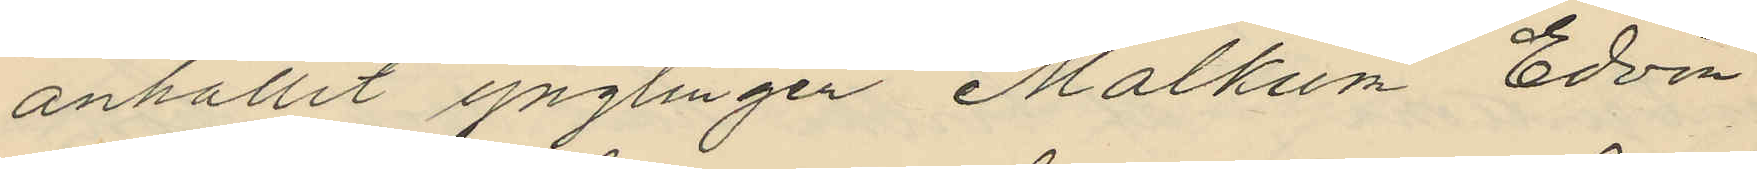anhållit ynglingen Malkum Edvin
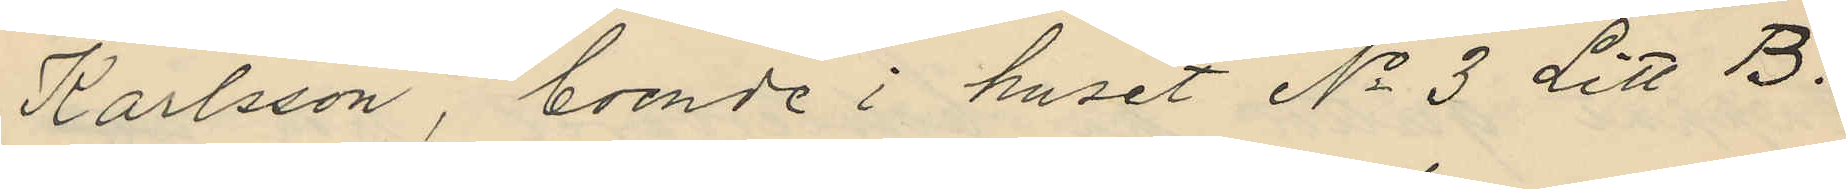Karlsson, boende i huset No 3 Litt B.
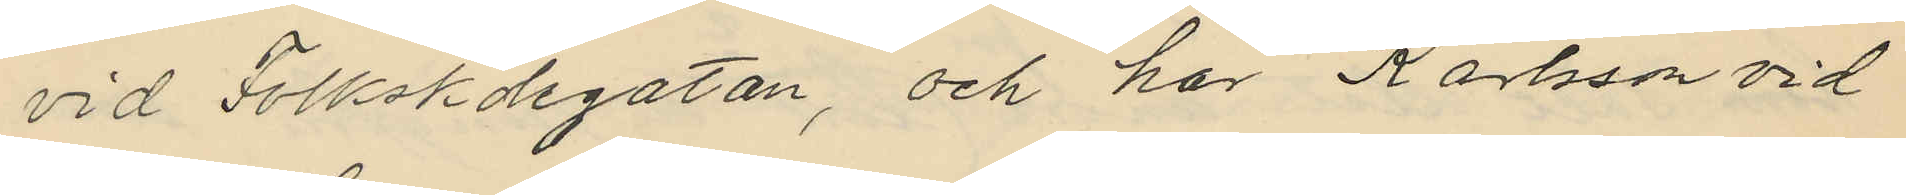vid Folkskolegatan, och har Karlsson vid
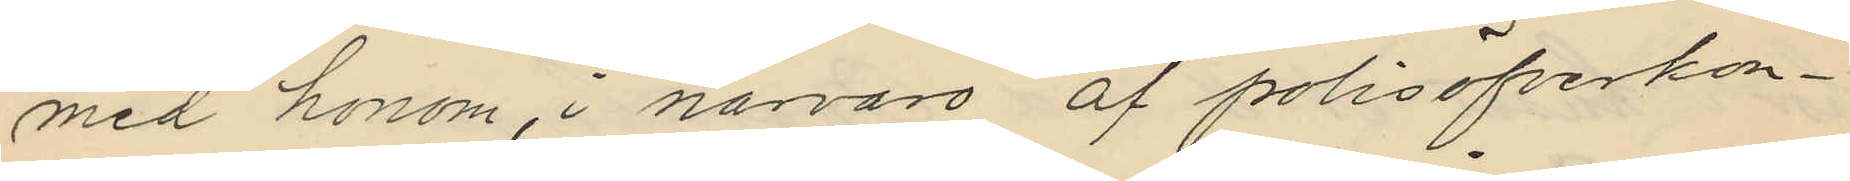med honom, i närvaro af polisöfverkon¬
